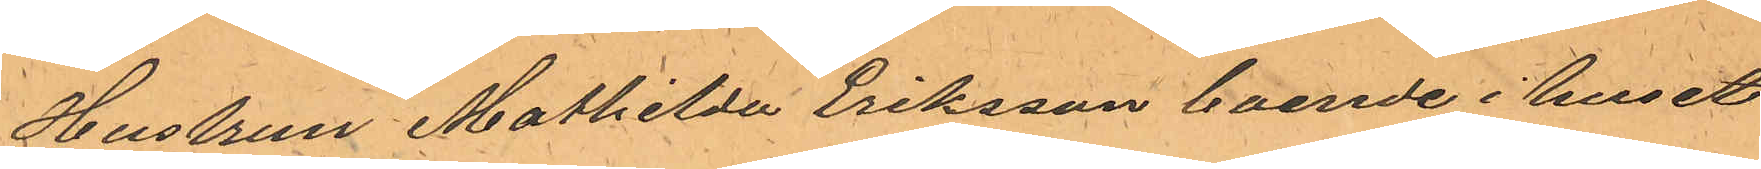Hustrun Mathilda Eriksson boende i huset
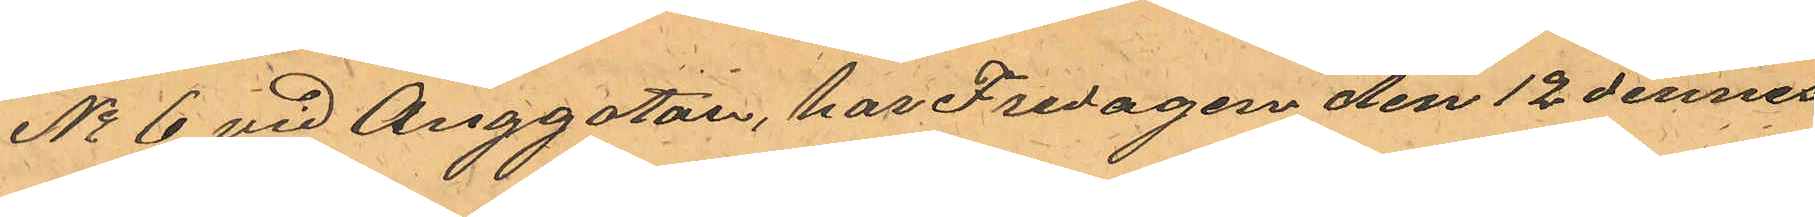No 6 vid Änggatan, har Fredagen den 12 dennes 
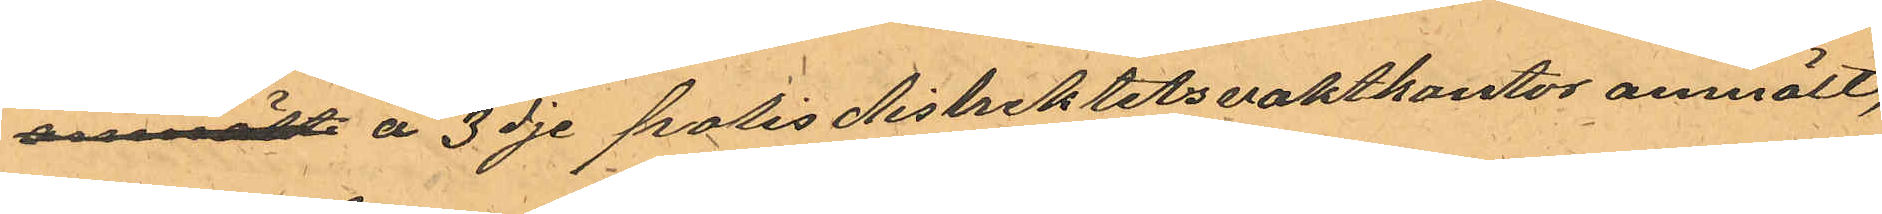anmält å 3dje polisdistriktets vaktkontor anmält,
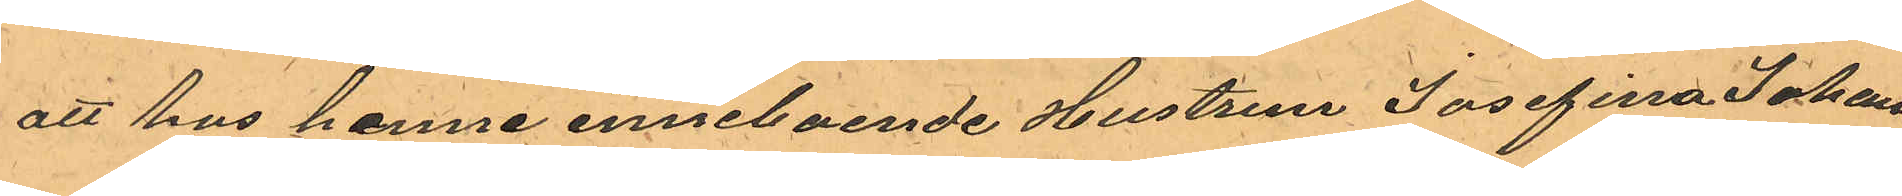att hos henne inneboende Hustrun Josefina Johans¬
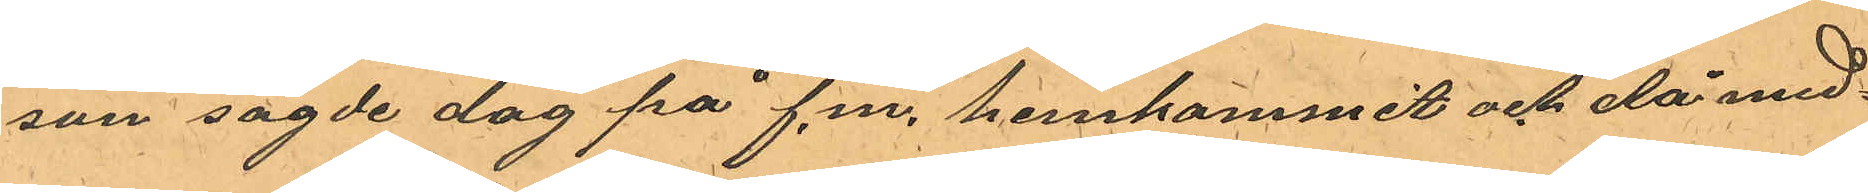son sagde dag på f.m. hemkommit och då med¬
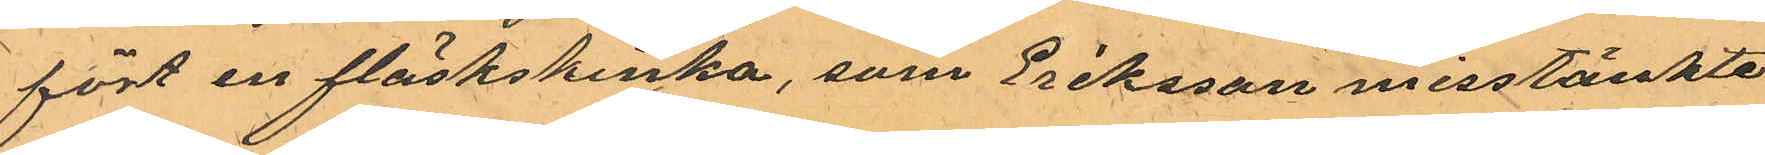fört en fläskskinka, som Eriksson misstänkte
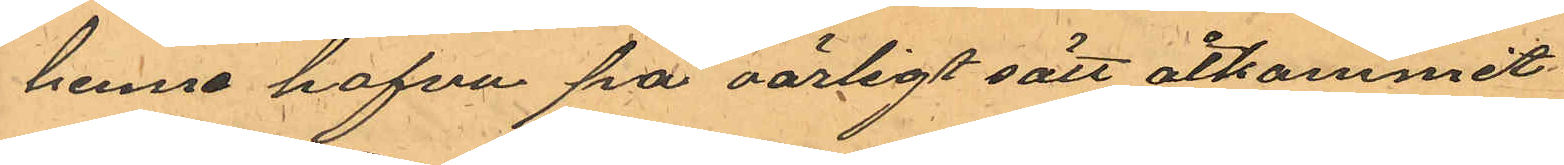henne hafva på oärligt sätt åtkommit.
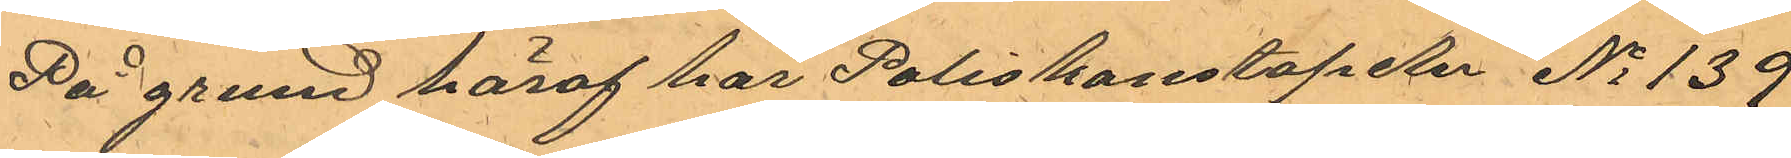På grund häraf har Poliskonstapeln No 139
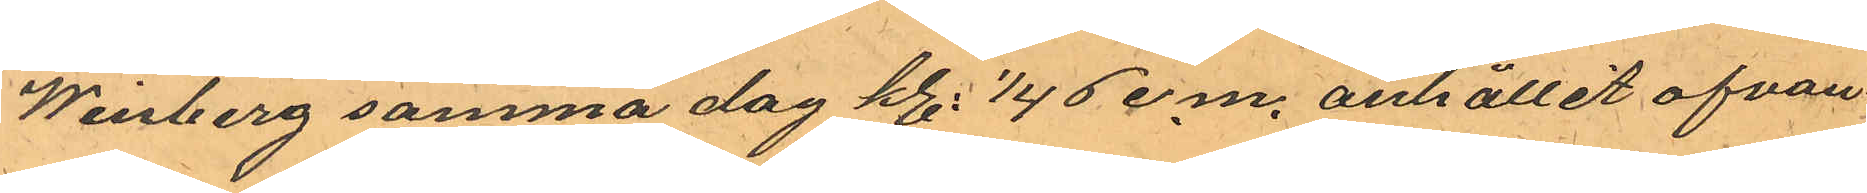Winberg samma dag kl. 1/4 6 e.m. anhållit ofvan¬
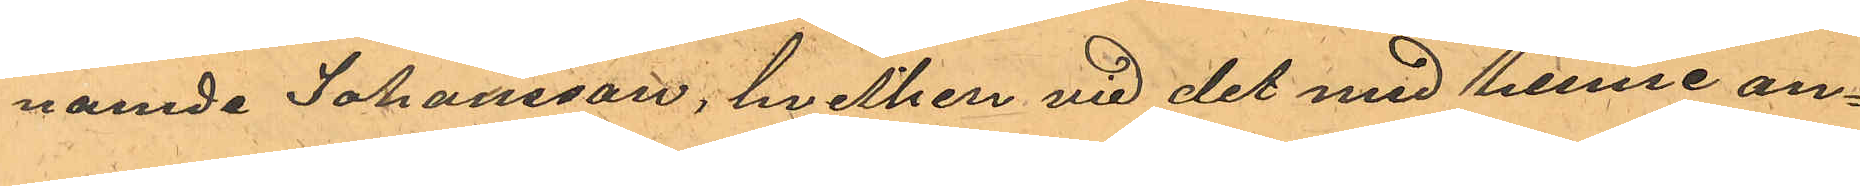namde Johansson, hvilken vid det med henne an¬
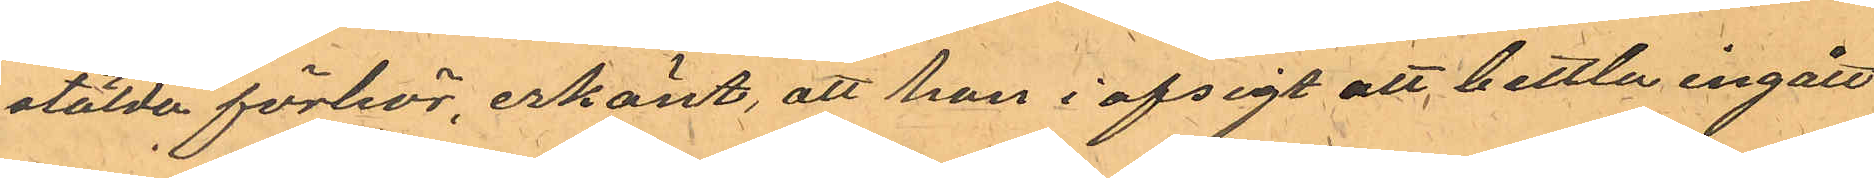stälda förhör erkänt, att hon i afsigt att bettla ingått
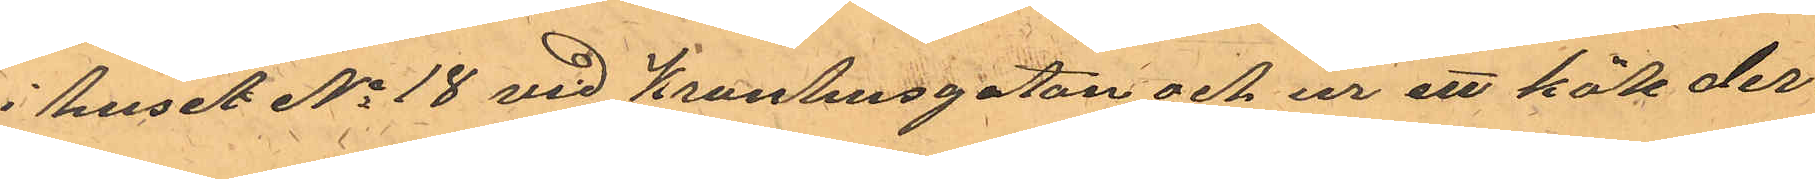i huset No 18 vid Kronhusgatan och ur ett kök der¬
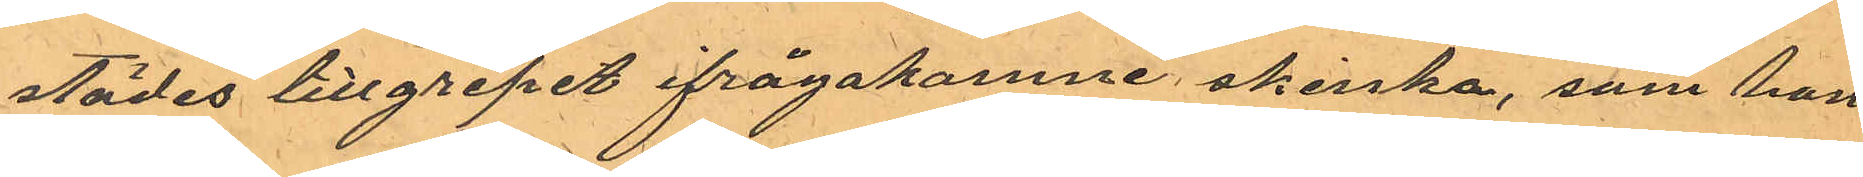städes tillgripit ifrågakomne skinka, som hon
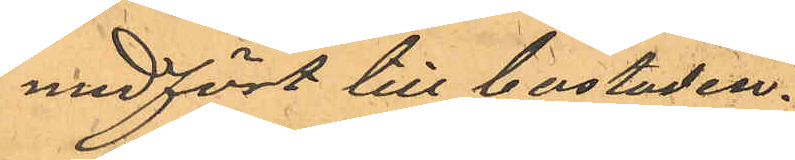medfört till bostaden.
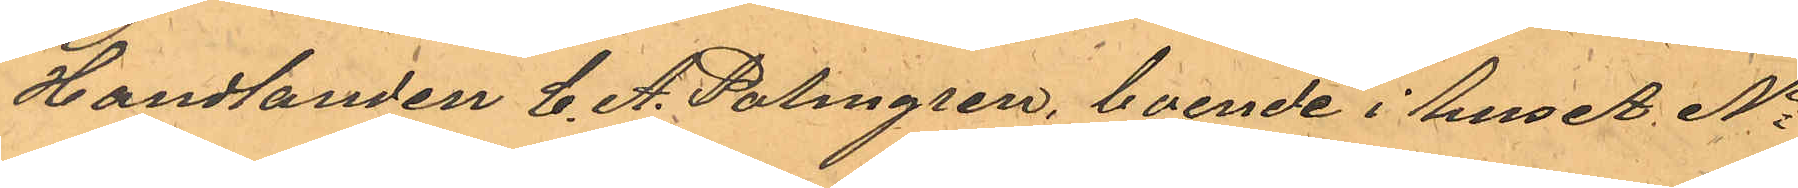Handlanden C. A. Palmgren, boende i huset No
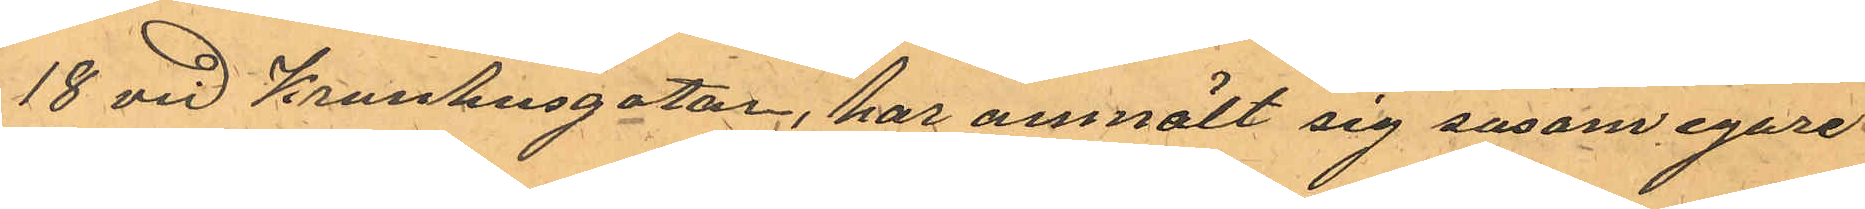18 vid Kronhusgatan, har anmält sig ensam egare
